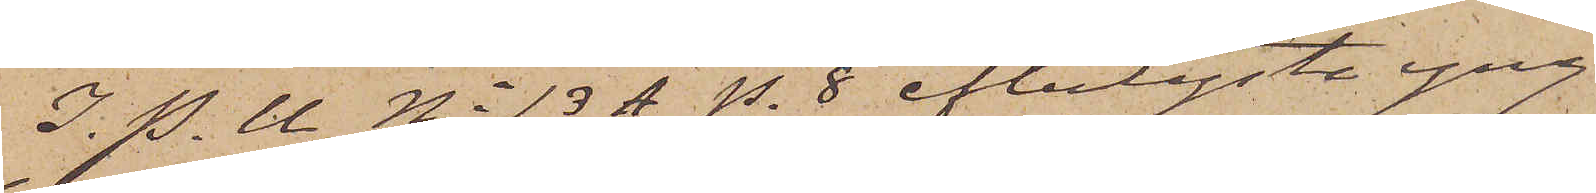I. P. U. No 13 A p. 8 efterlyste yng¬
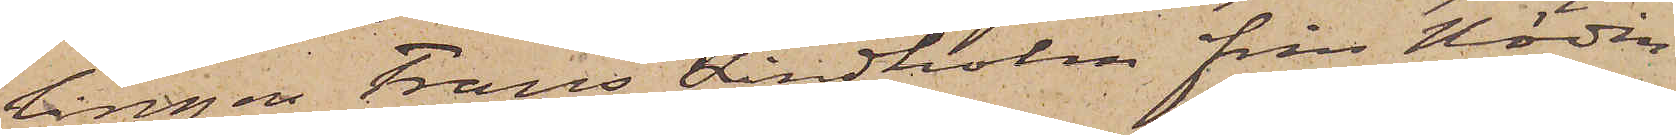lingen Frans Lindholm från Nödin¬
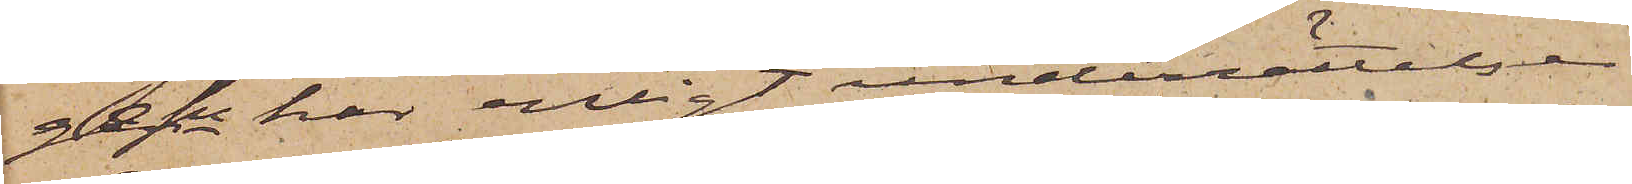ge sn har enligt underrättelser
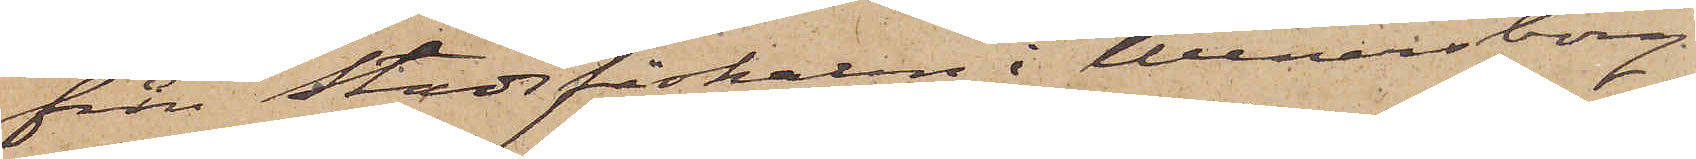från Stadsfiskalen i Wenersborg
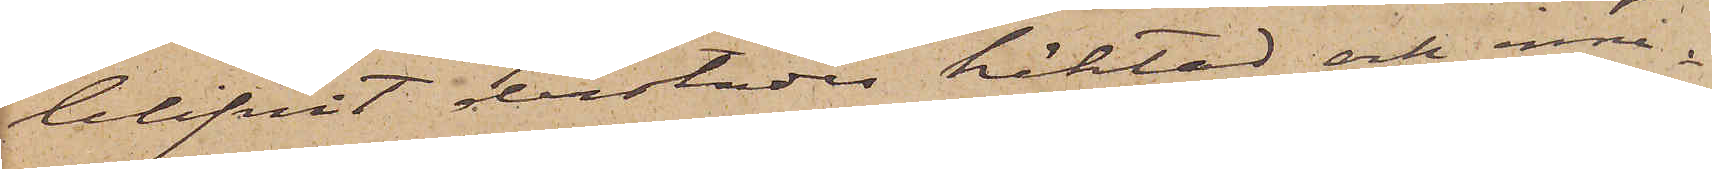blifvit derstädes häktad och inne¬
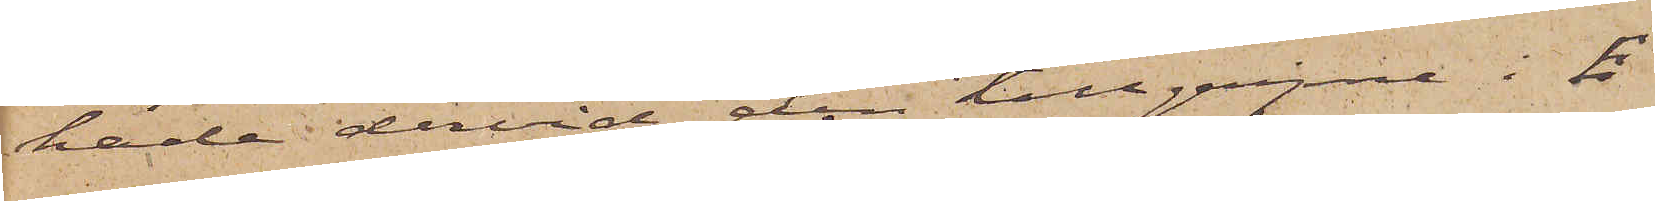hade dervid den tillgripne i E 
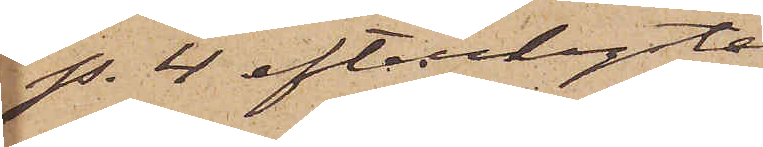p. 4 efterlyste
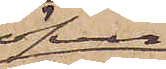öfver¬
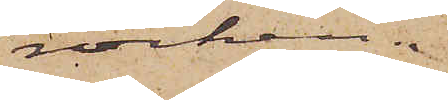rocken.
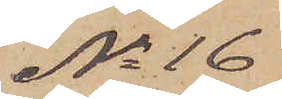No 16
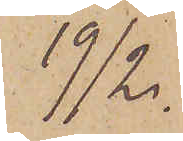19/2.
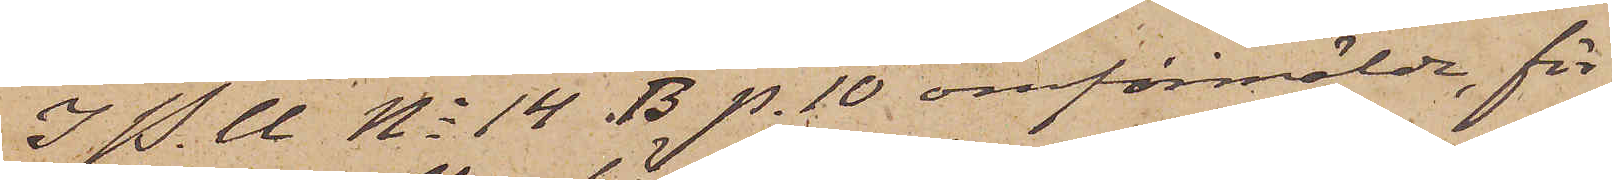I. P. U. No 14 B p. 10 omförmälde, för
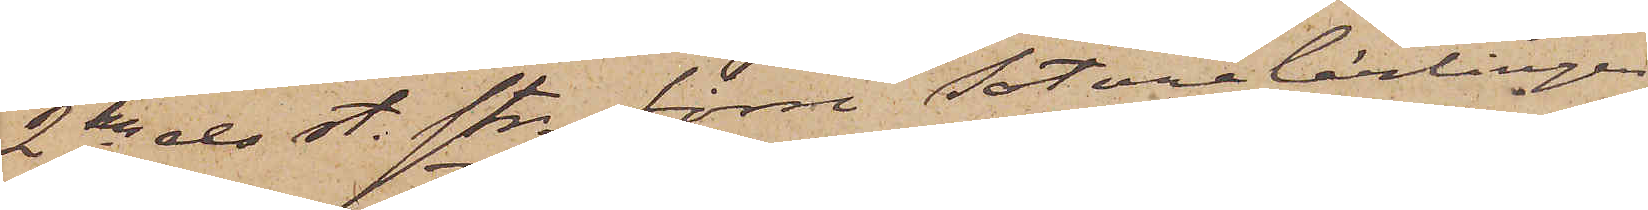2dra res st. str. förre Sotarelärlingen
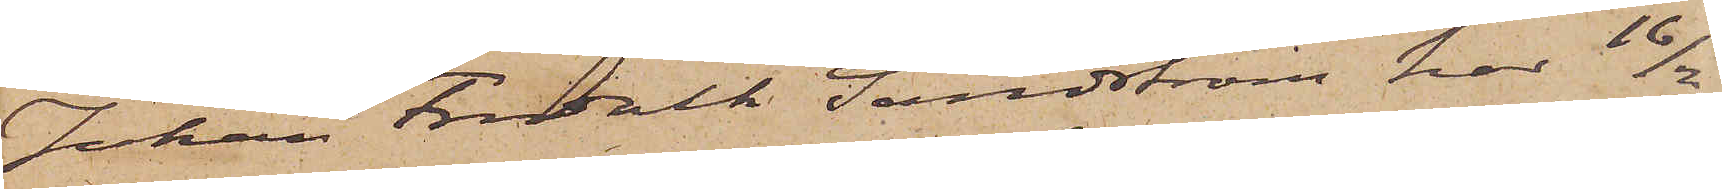Johan Fredrik Sundström, har kl 16/2
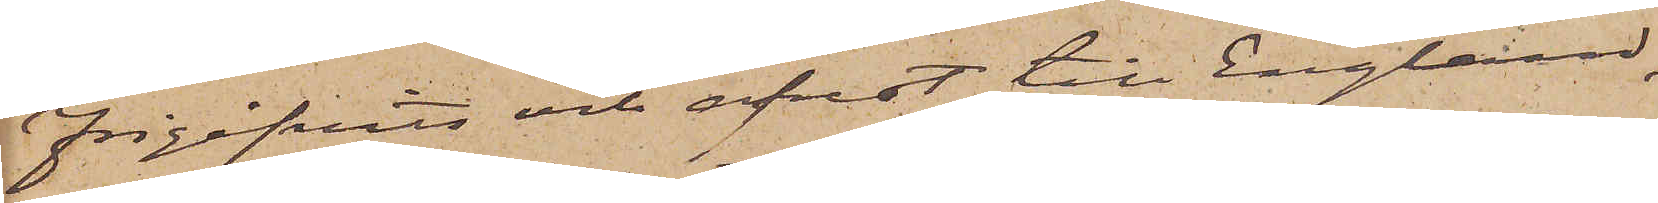frigifvits och afrest till England,
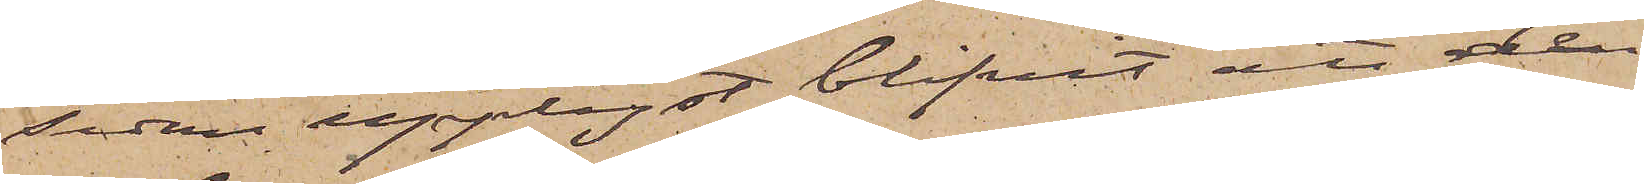sedan upplyst blifvit att den
